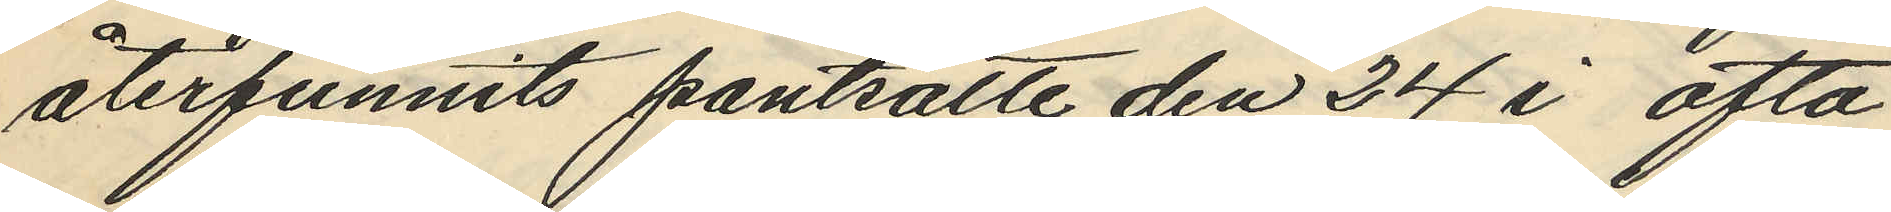återfunnits pantsatte den 24 i ofta
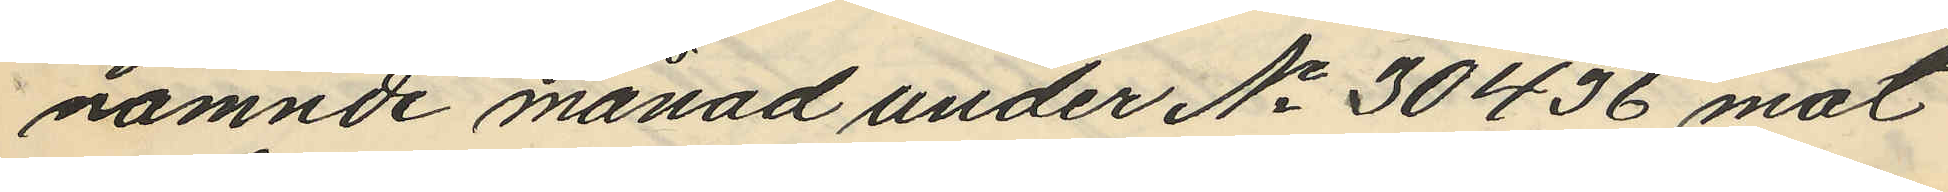nämnde månad under No 30436 mot
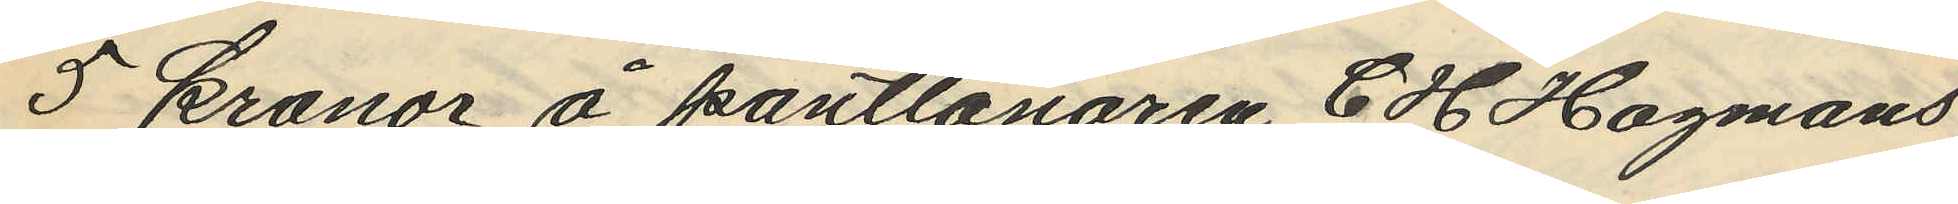5 kronor å pantlånaren C H Hagmans
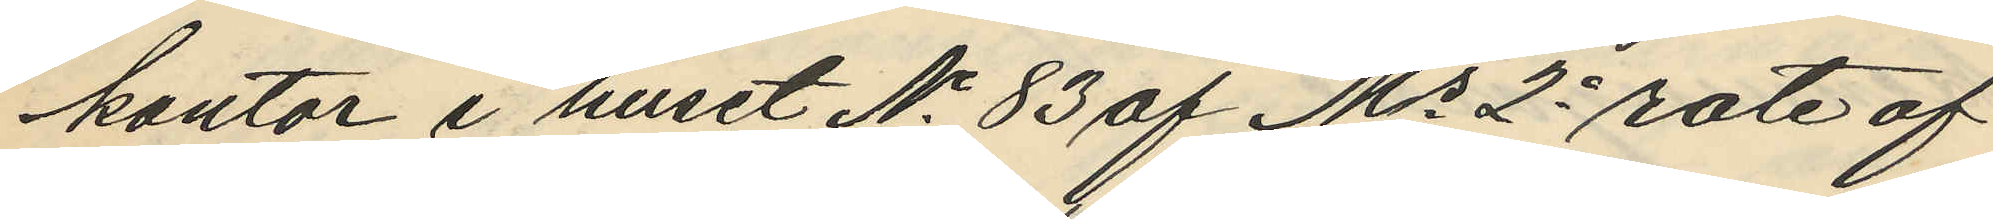kontor i huset No 83 af Ms 2a rote af
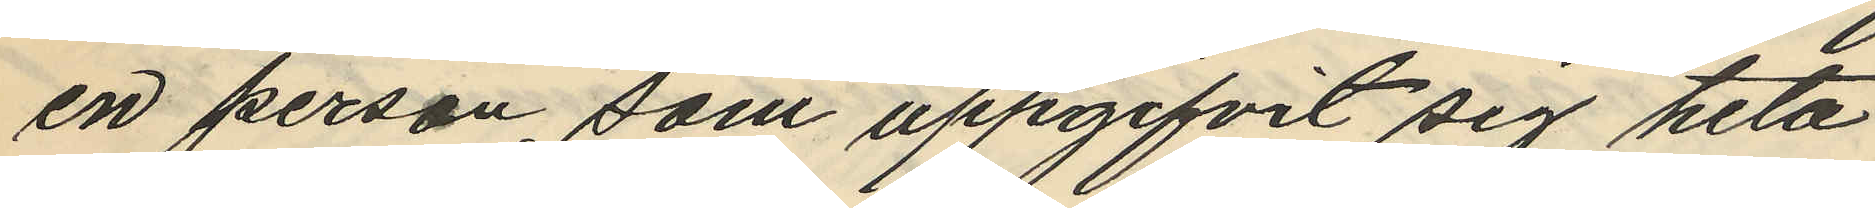en person, som uppgifvit sig heta
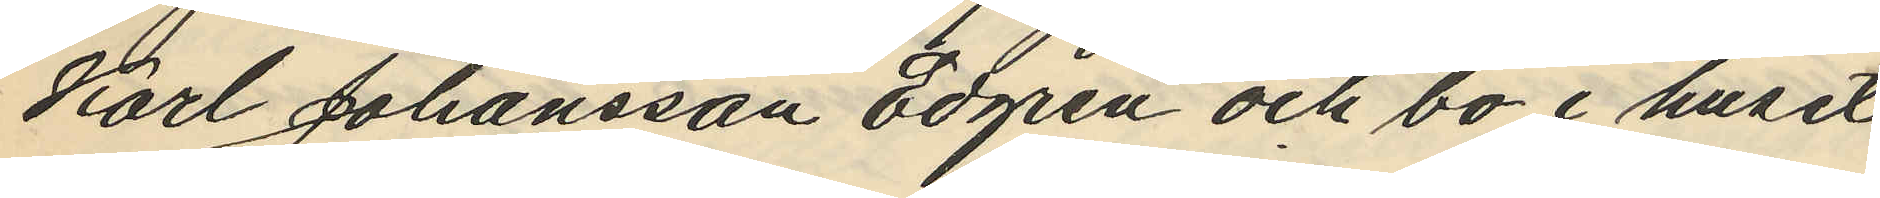Karl Johansson Edgren och bo i huset
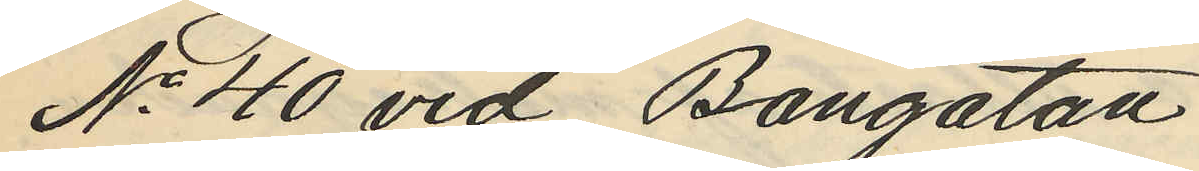No 40 vid Bangatan.
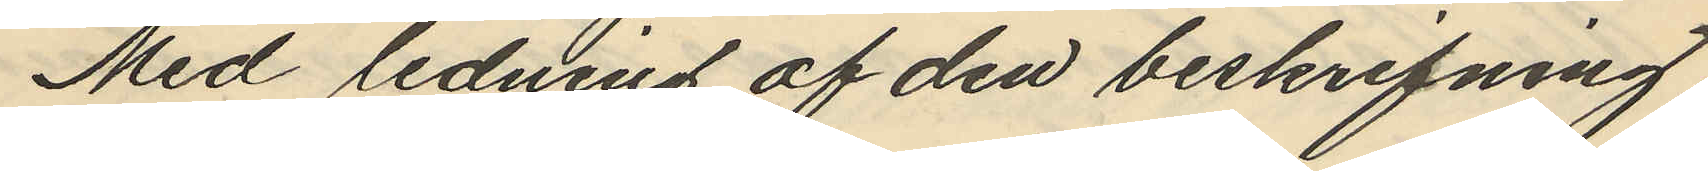Med ledning af den beskrifning
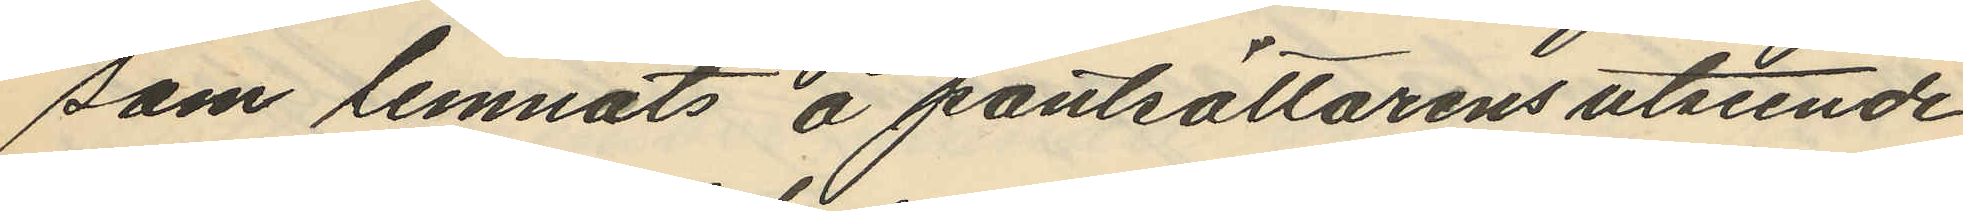som lemnats å pantsättarens utseende
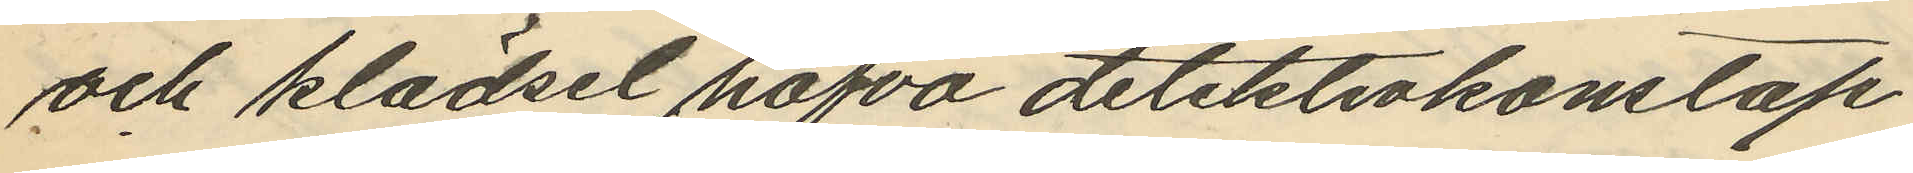och klädsel hafva detektivkonstap¬
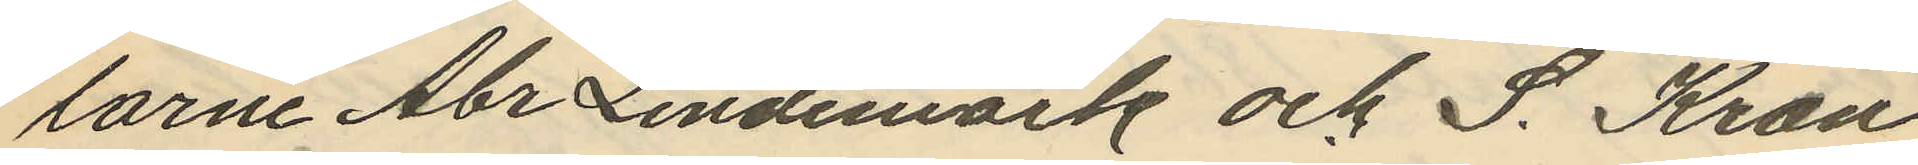larne Abr Lindemark och S. Kron
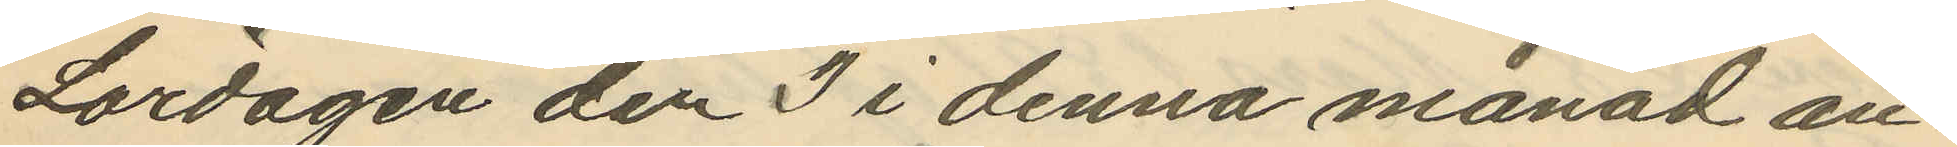Lördagen den 3 i denna månad an¬
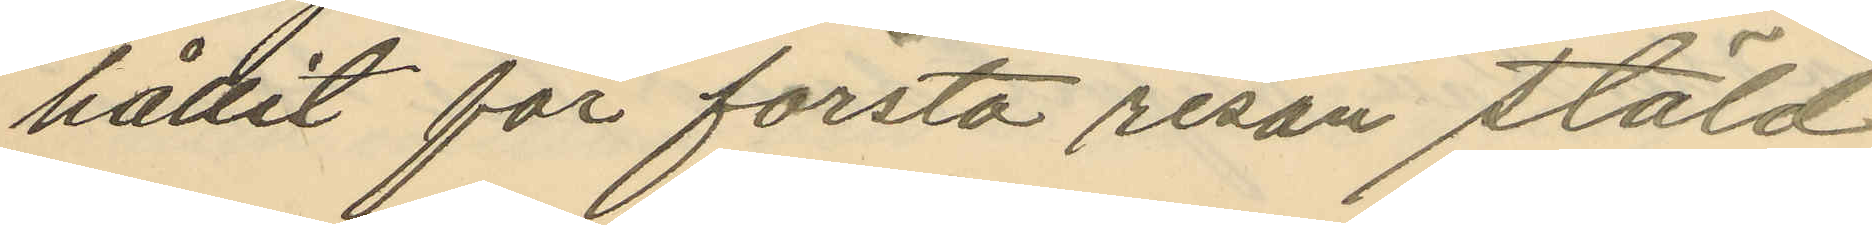hållit för första resan stöld
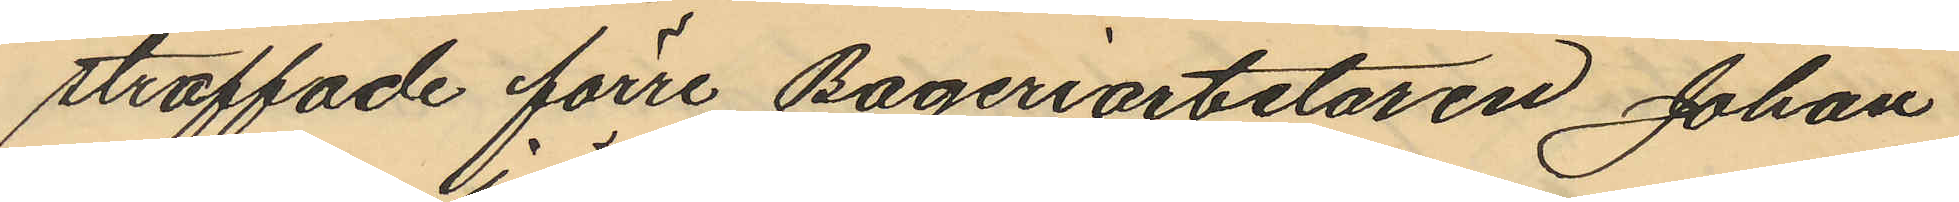straffade förre Bageriarbetaren Johan
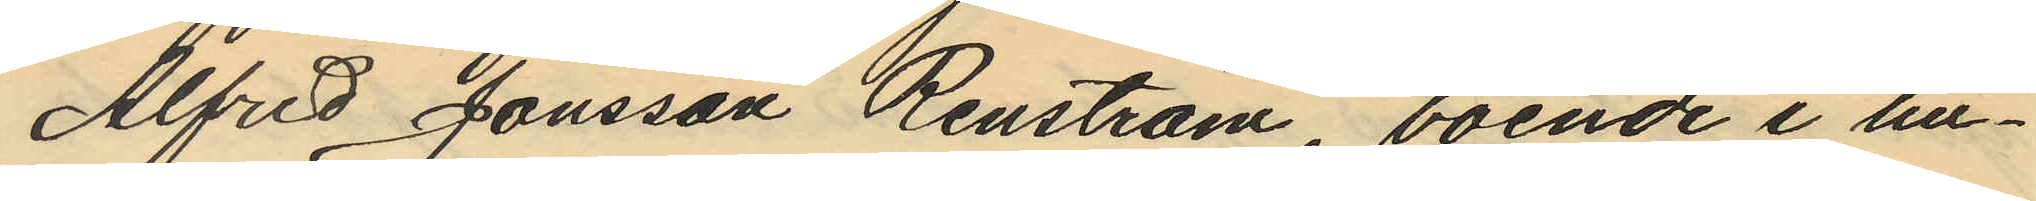Alfred Jönsson Renström, boende i hu¬
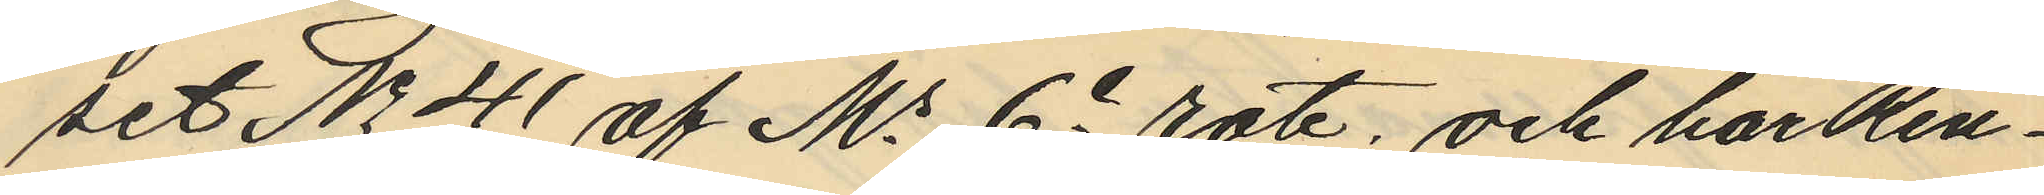set No 41 af Ms 6e rote, och har Ren¬
